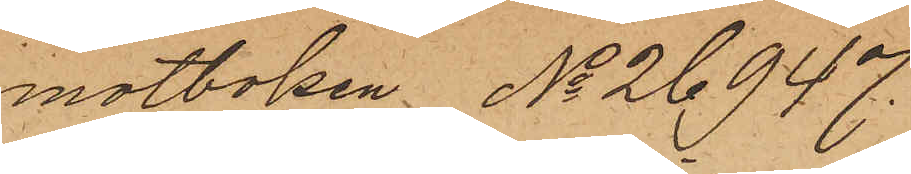motboken No 26947.
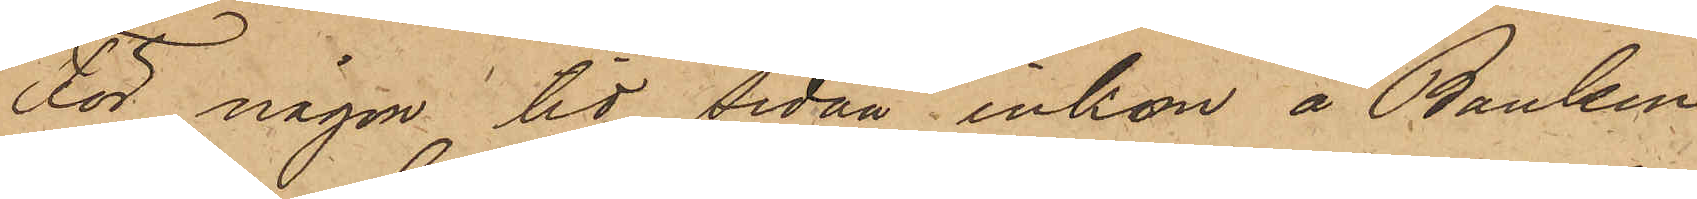För någon tid sedan inkom å Banken
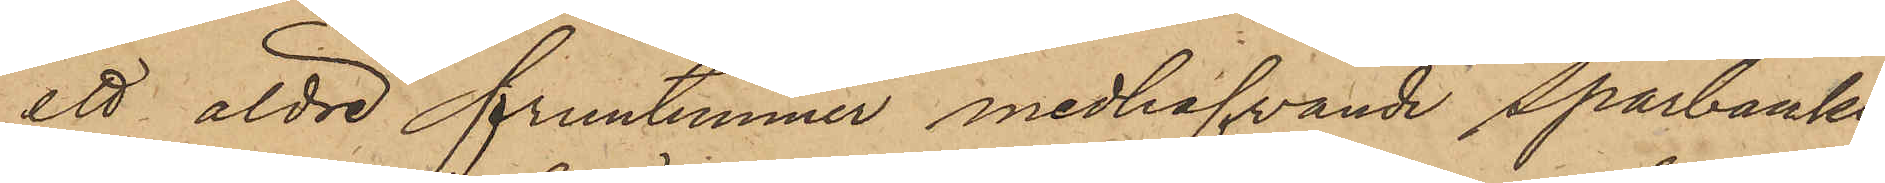ett äldre fruntimmer medhafvande Sparbanks¬
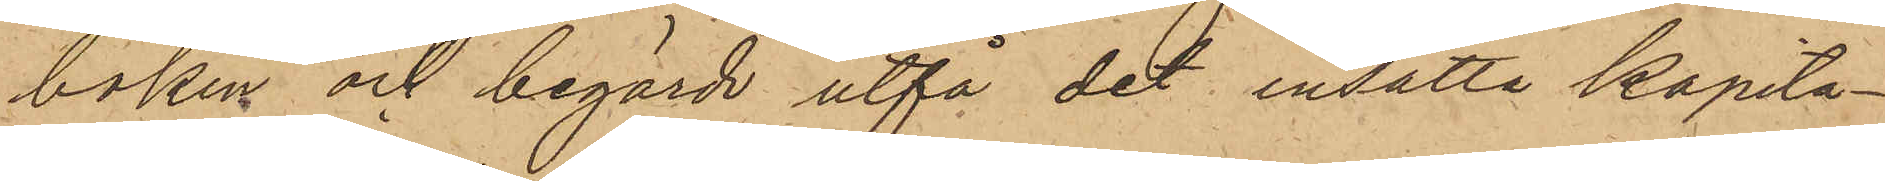boken och begärde utfå det insatta Kapita¬
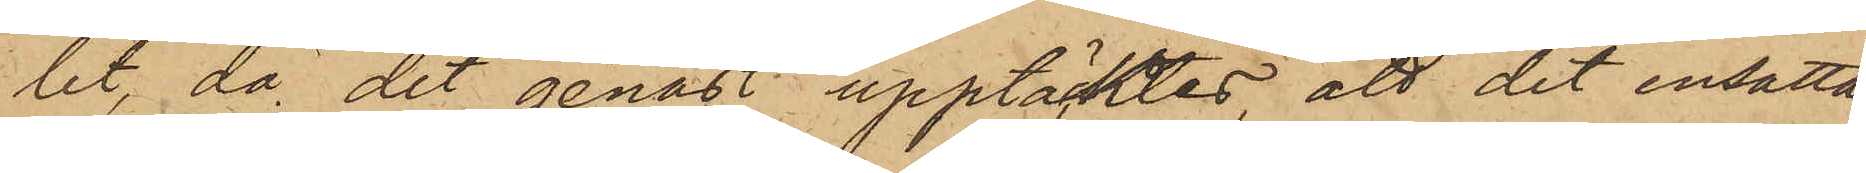let, då det genast upptäcktes, att det insatta
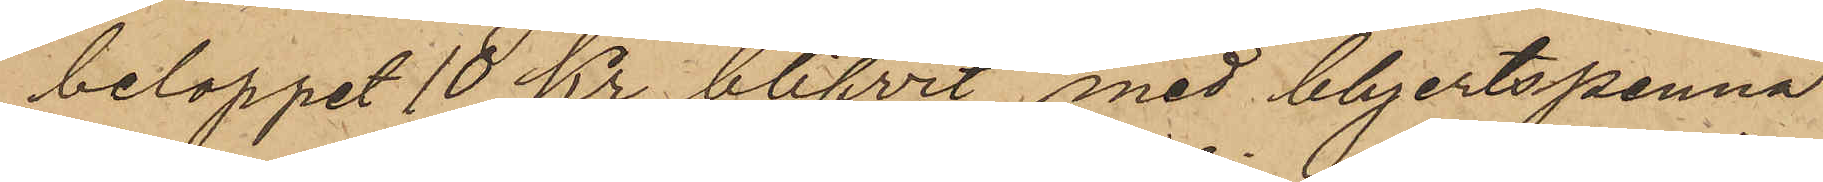beloppet 10 Kr blifvit med blyertspenna
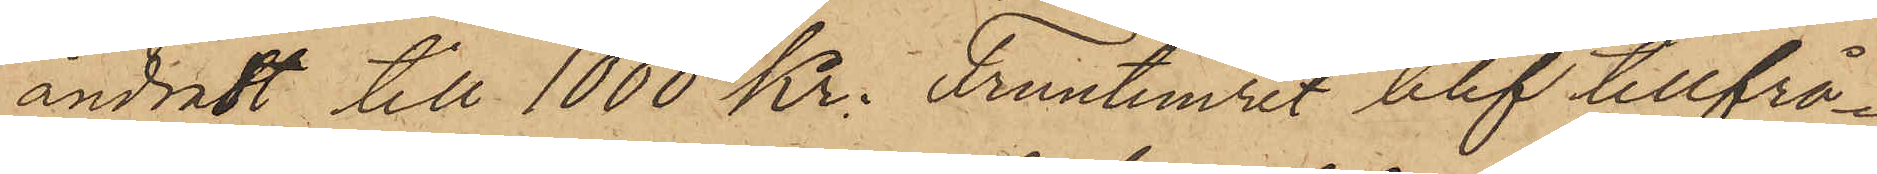ändradt till 1000 Kr. Fruntimret blif tillfrå¬
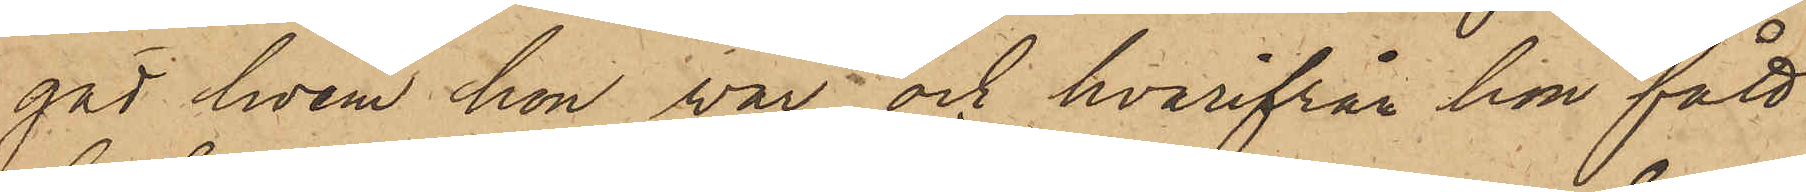gad hvem hon var och hvarifrån hon fått
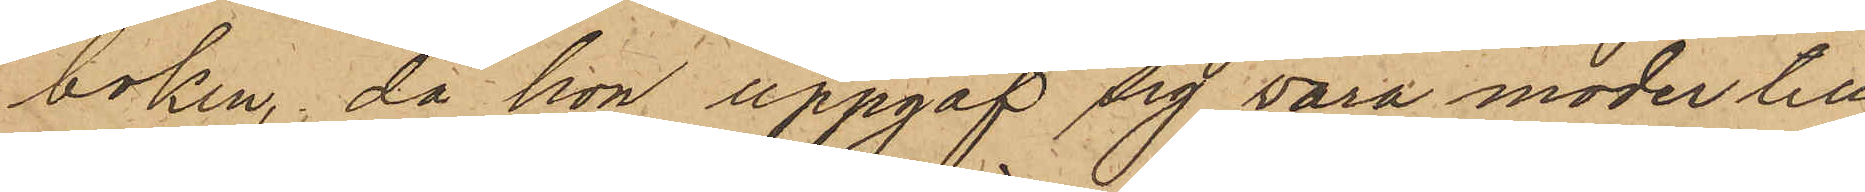boken, då hon uppgaf sig vara moder till
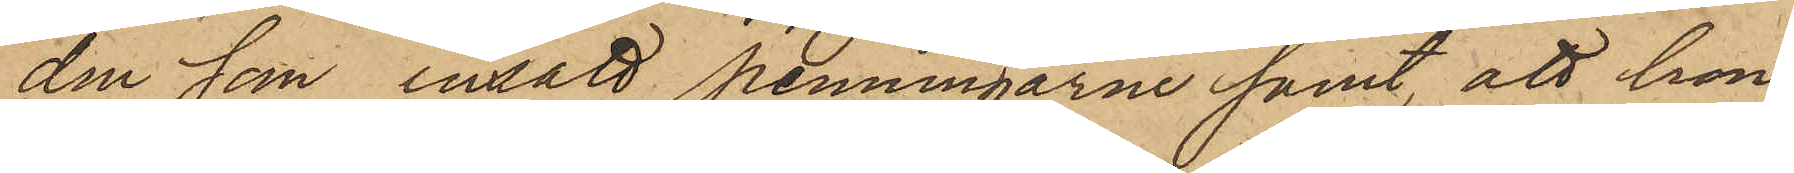den som insatt penningarne samt, att hon
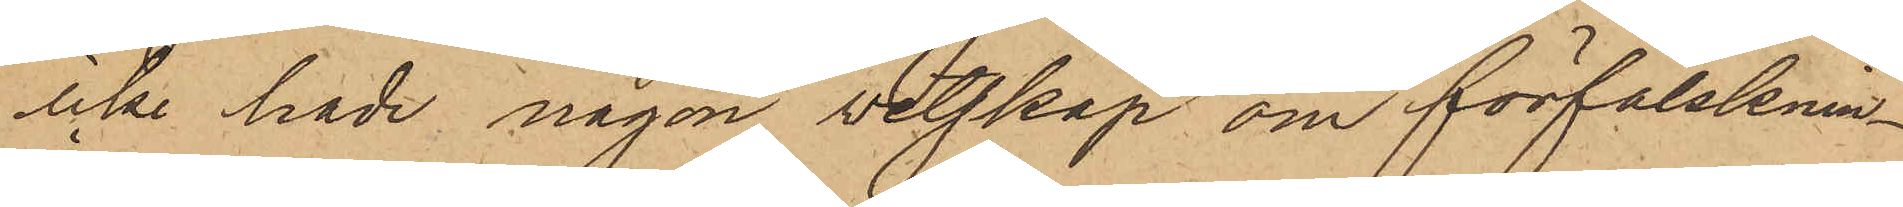icke hade någon vetskap om förfalsknin¬
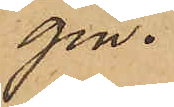gen.
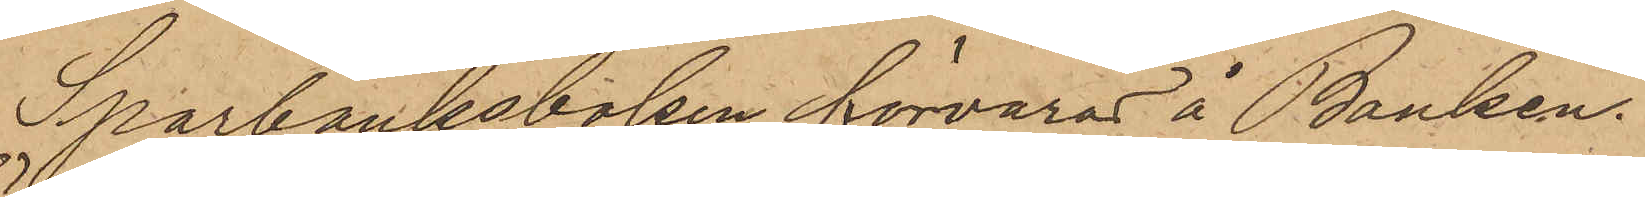Sparbanksboken förvaras å Banken.
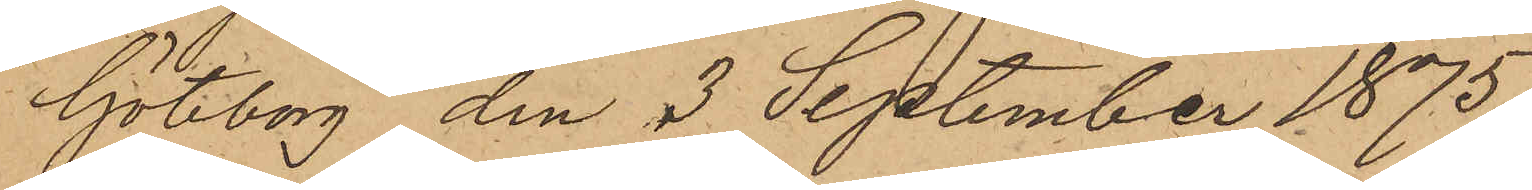Göteborg den 3 September 1875
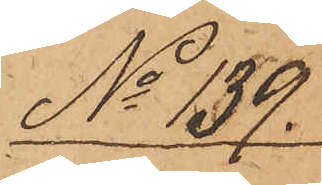No 139.
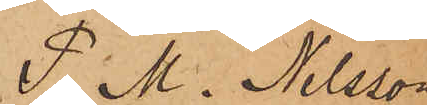P. M. Nilsson
